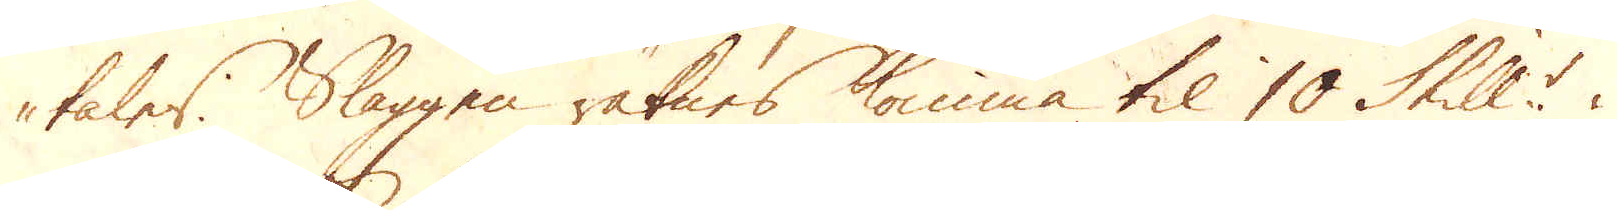tales. Slaggen räknes komma til 10 Skill:r i
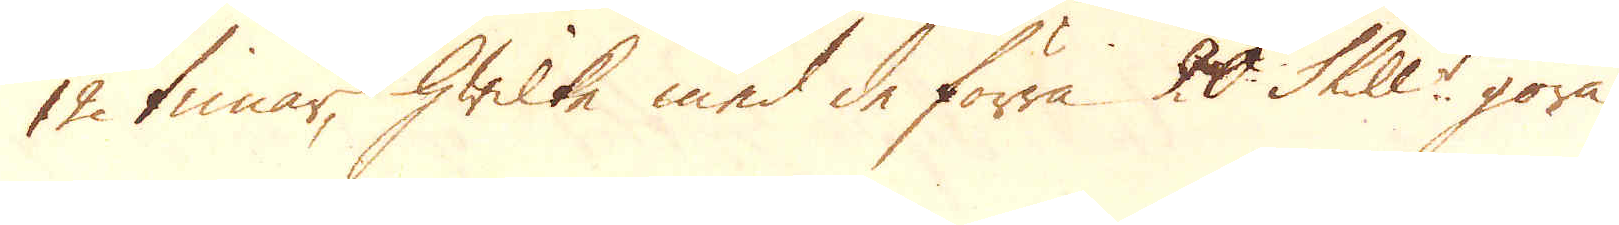12 timar, hwilke med de förra 20 Skill:r göra
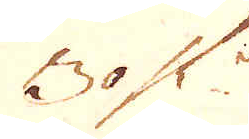30 Sk:r
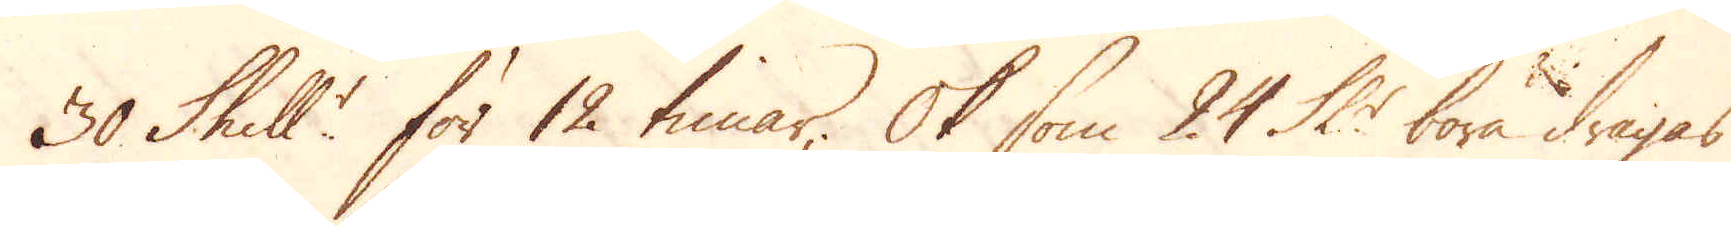30 Skill:r för 12 timar; Ok som 24 Sk:r böra dragas
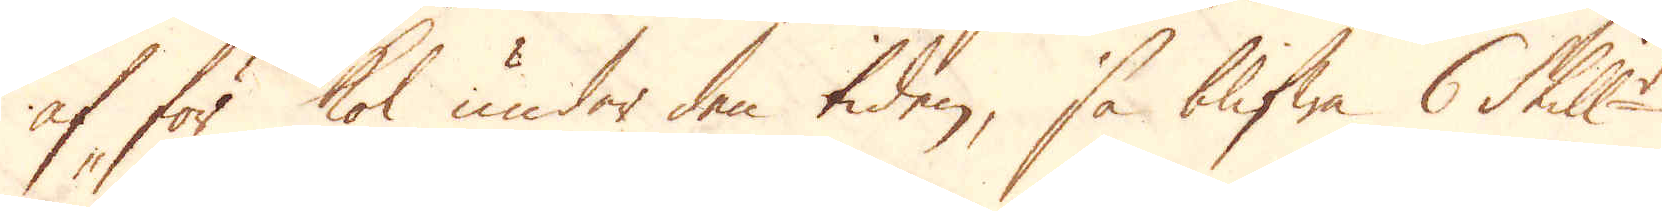af för kol, under den tiden, så blifwa 6 Skill:r
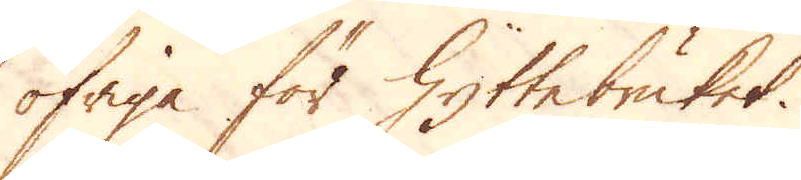öfriga för Hyttebruket.
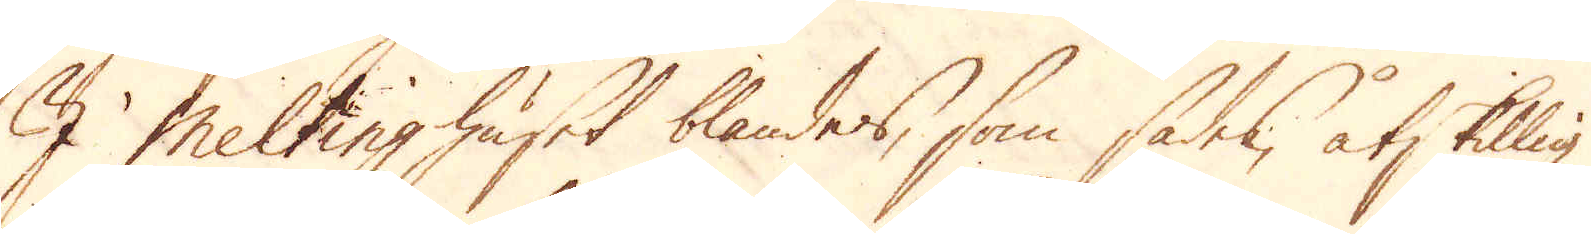I Meltinghuset blandas, som sades, åtskillig
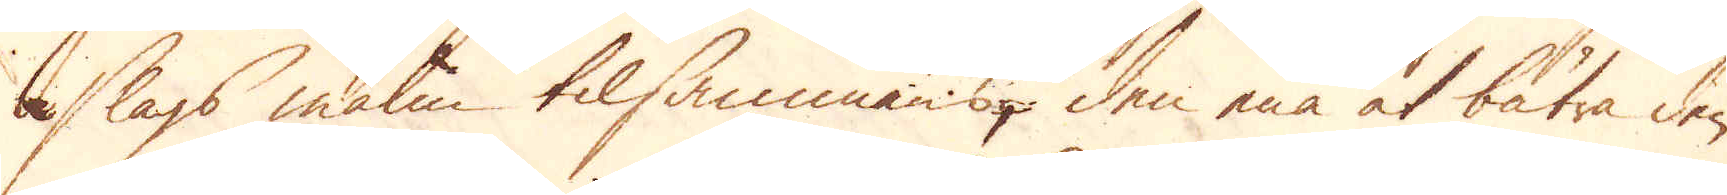slags malm tilsammans, den ena at bätra den
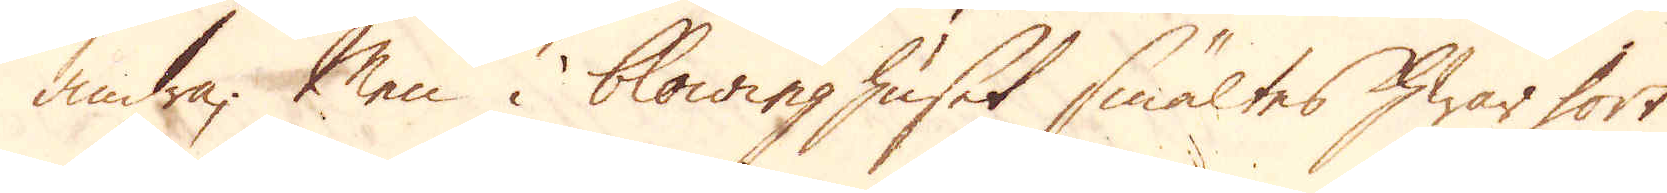andra; Men i blowinghuset smältes hwar fort
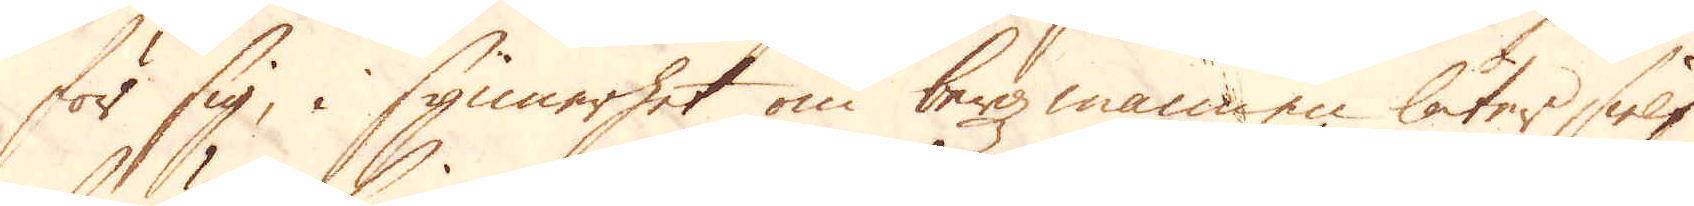för sig, i synnerhet om bergmannen låter sielf
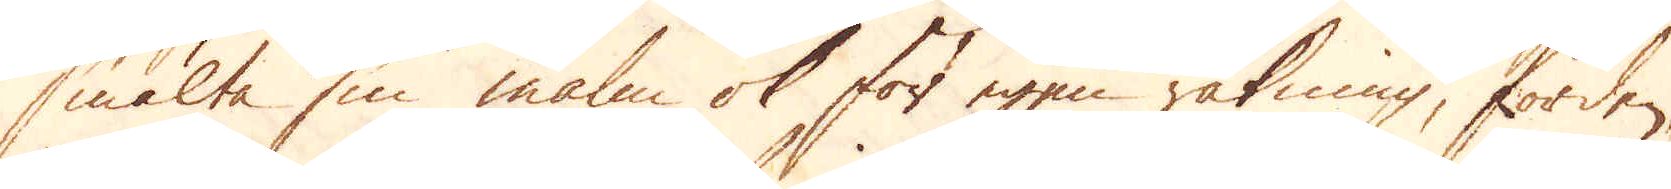smälta sin malm ok för egen räkning, förden-
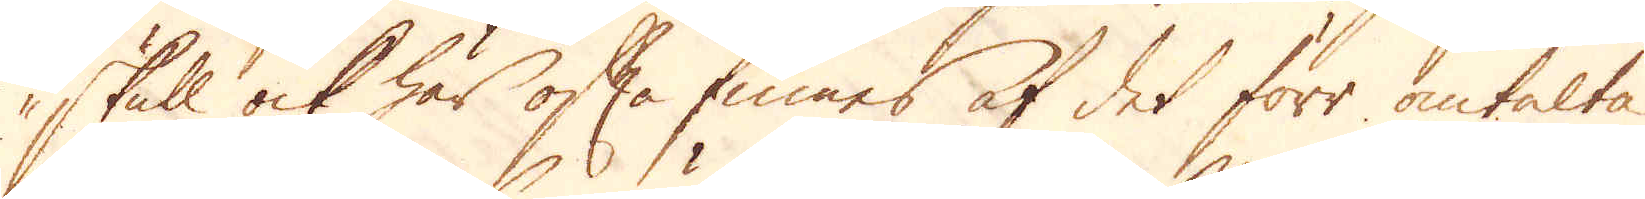skull ock här ofta finnes af det förr omtalte
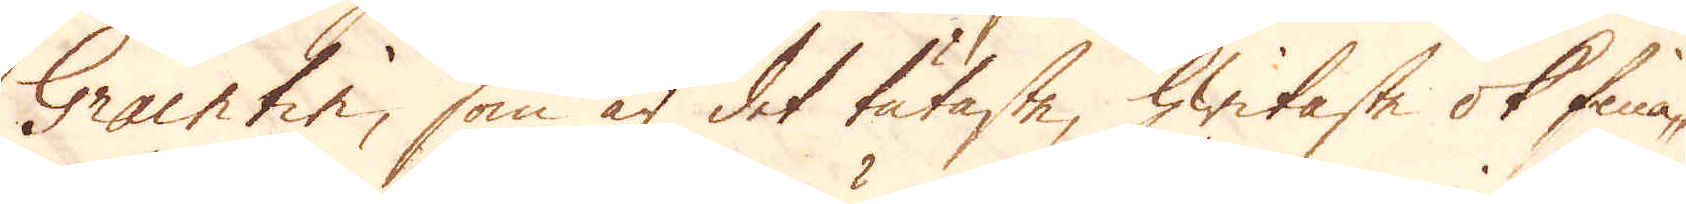Graintin, som är det tätaste, hwitaste ok fina-
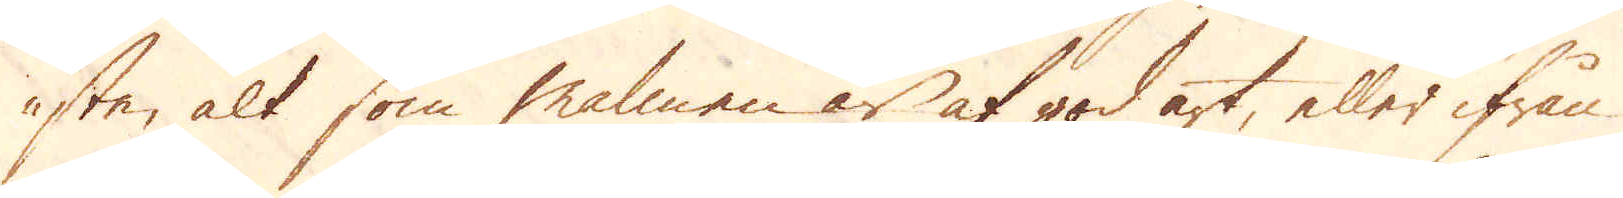ste, alt som malmen är af god art, eller ifrån
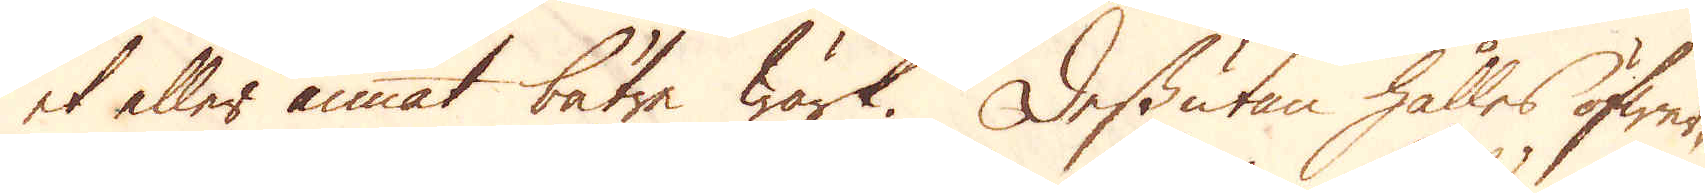et eller annat bätre wärk. Dessutan hålles öfwer-
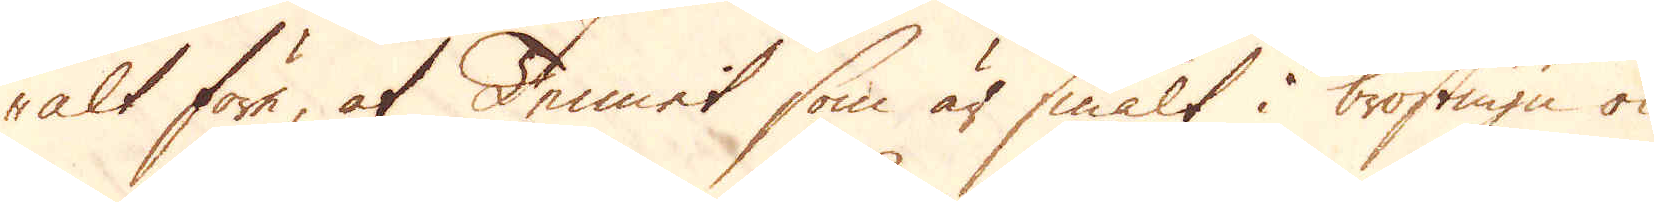alt före, at Tennet som är smält i bröstugn ok
